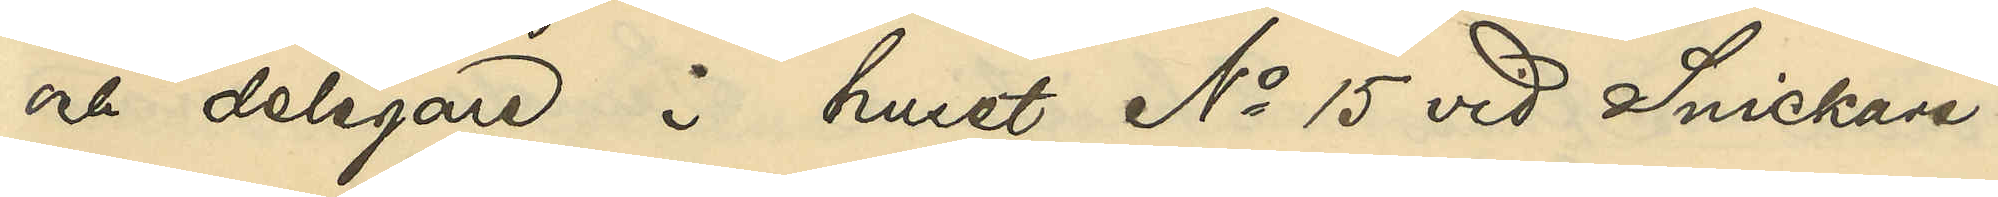och delegare i huset No 15 vid Snickare¬
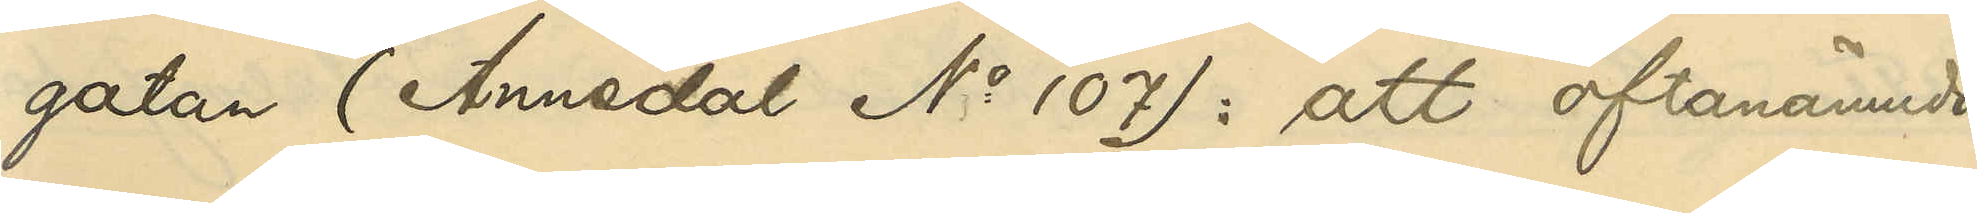gatan (Annedal No 107): att oftanämnda
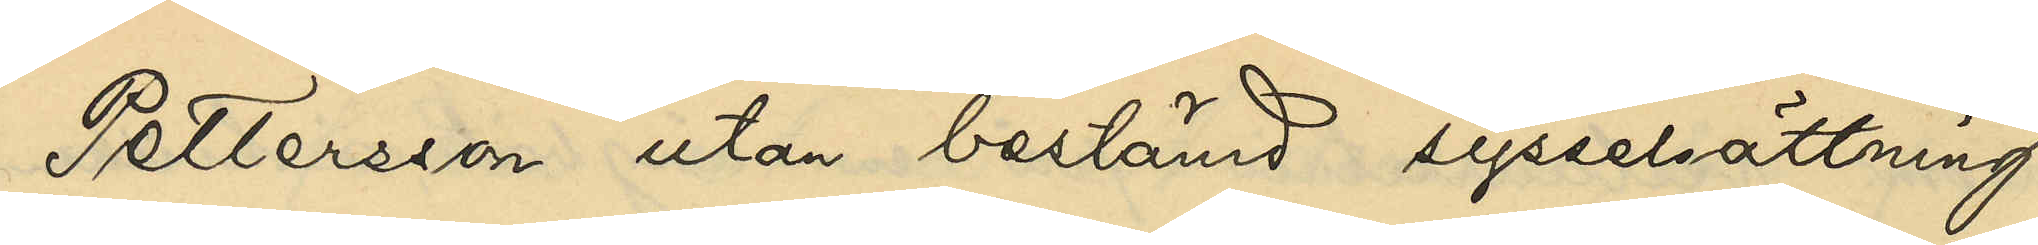Pettersson utan bestämd sysselsättning
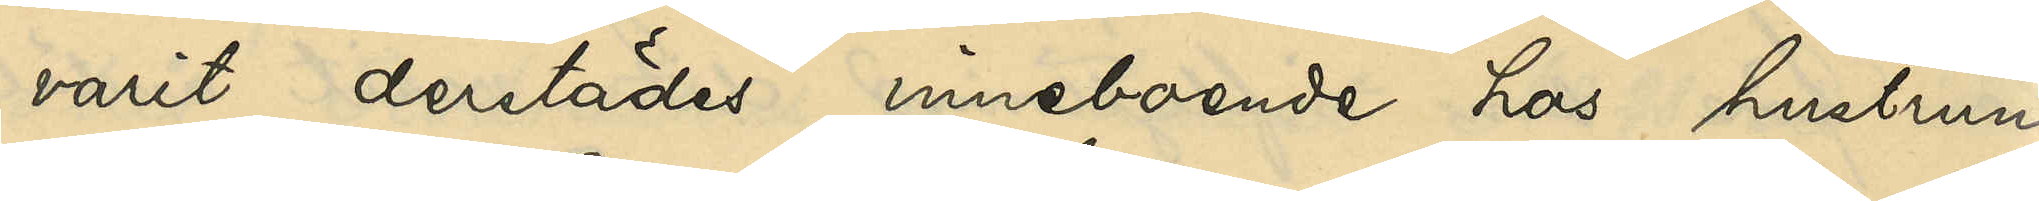varit derstädes inneboende hos hustrun
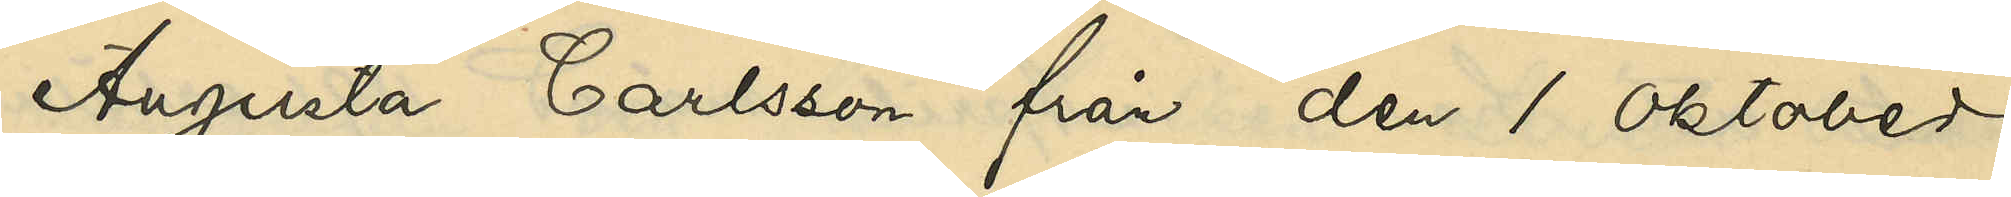Augusta Carlsson från den 1 oktober
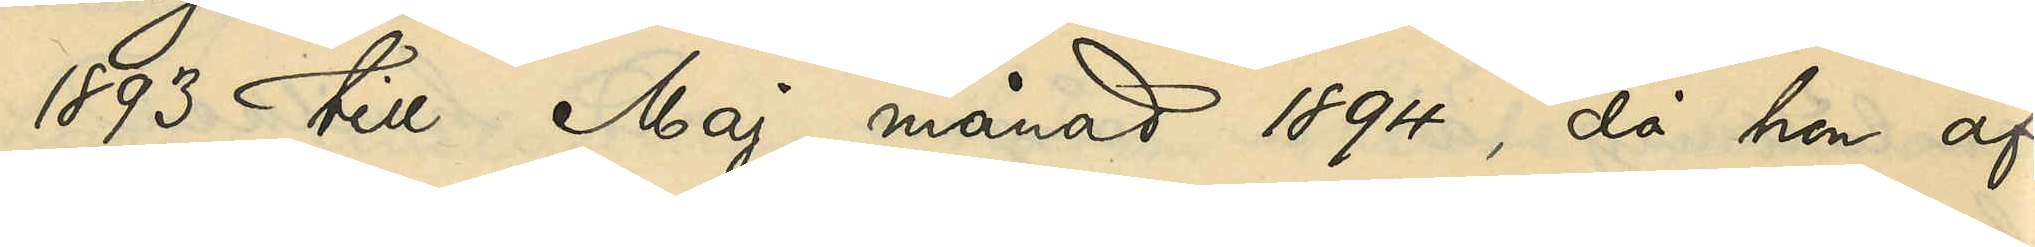1893 till Maj månad 1894, då hon af¬
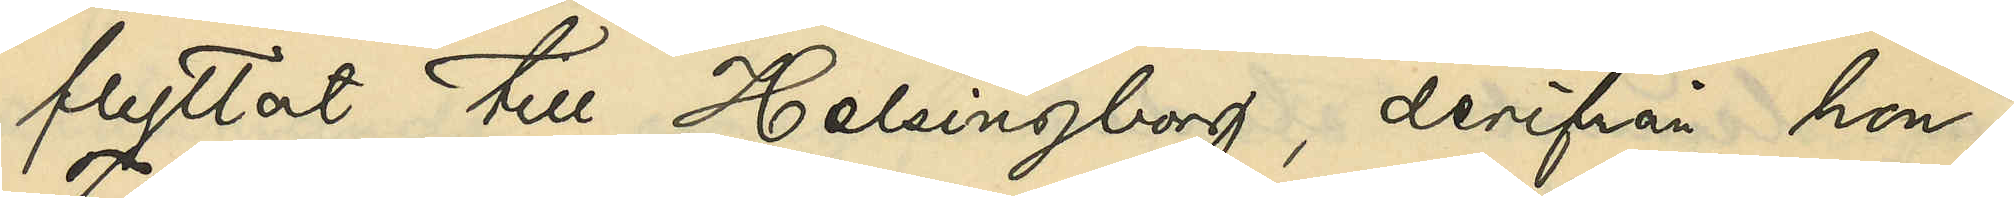flyttat till Helsingborg, derifrån hon i
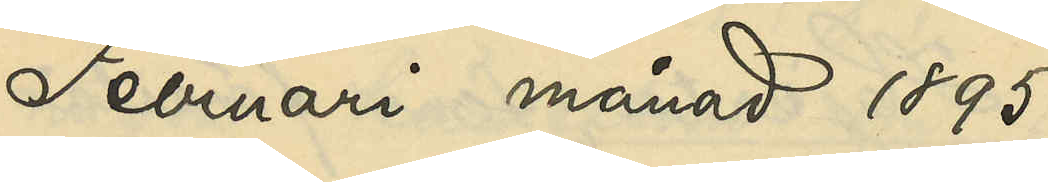Februari månad 1895
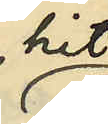hit
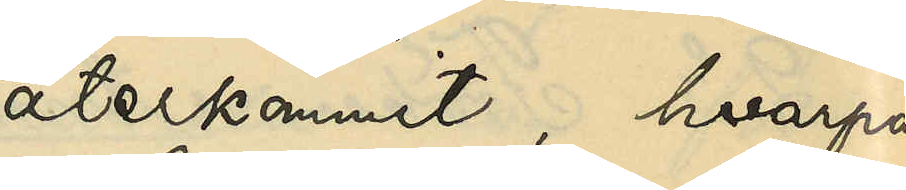återkommit, hvarpå
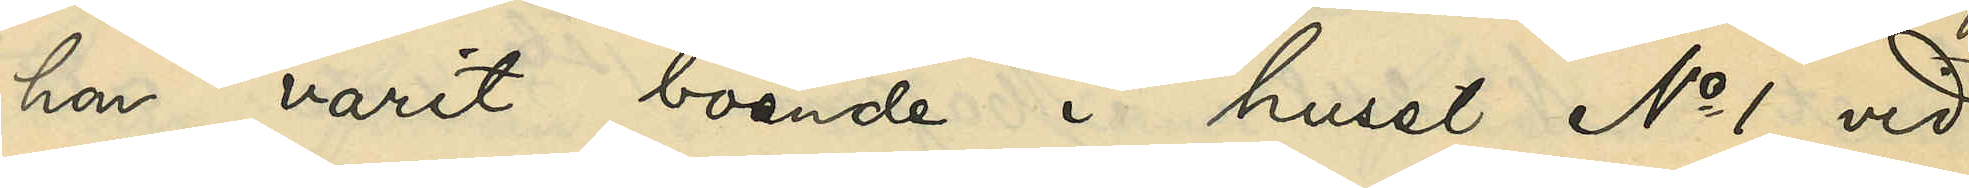hon varit boende i huset No 1 vid
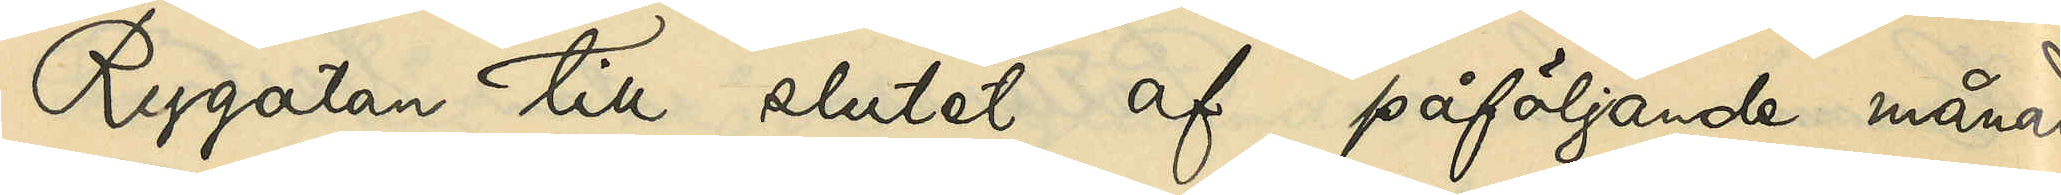Rygatan till slutet af påföljande månad,
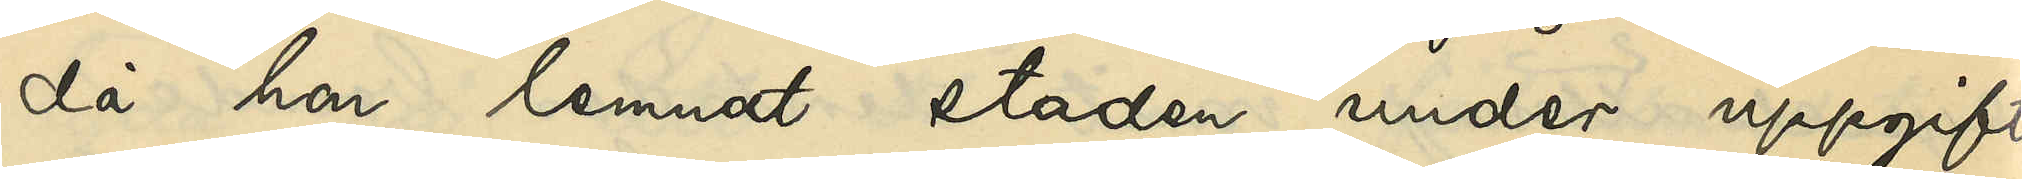då hon lemnat staden under uppgift
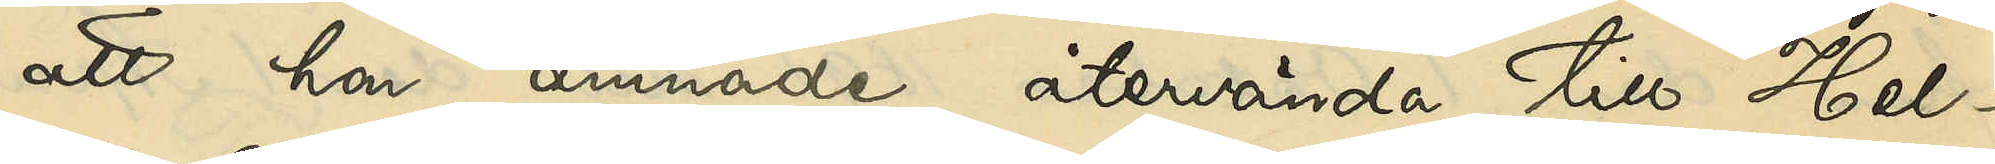att hon ämnade återvända till Hel¬
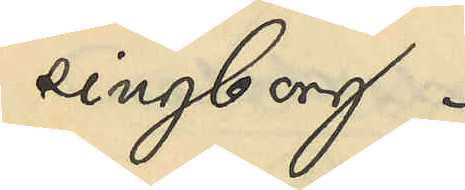singborg.
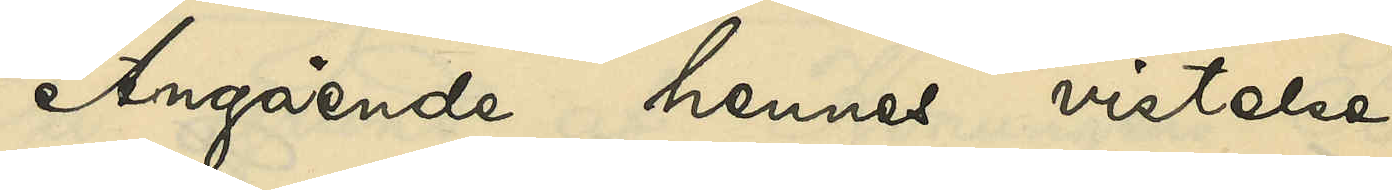Angående hennes vistelse
